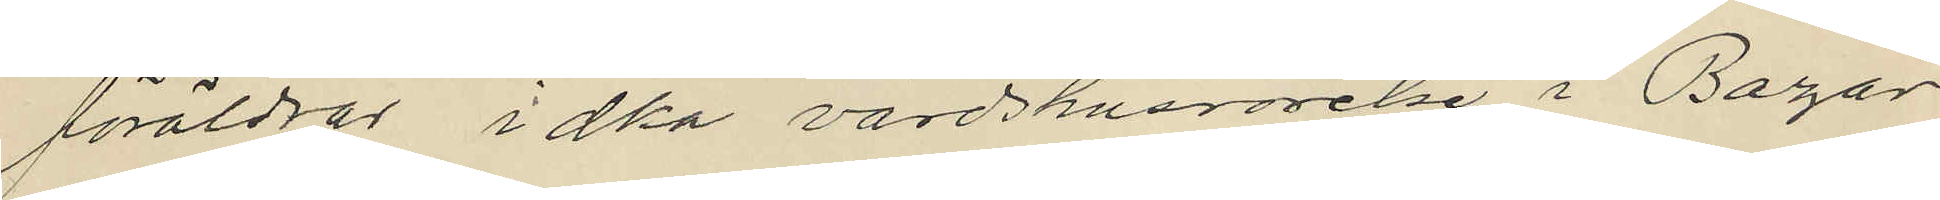föräldrar idka värdshusrörelse i Bazar
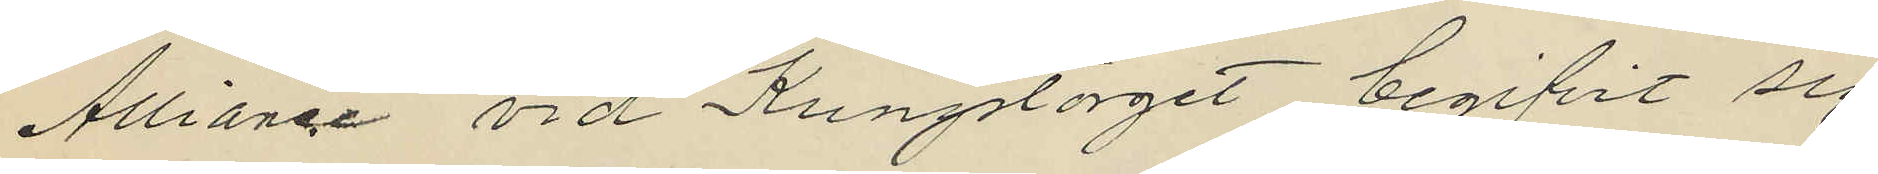Alliance vid Kungstorget begifvit sig
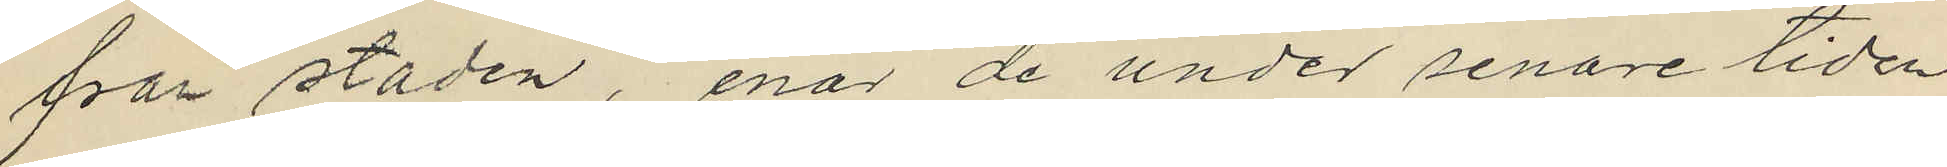från staden, enär de under senare tiden
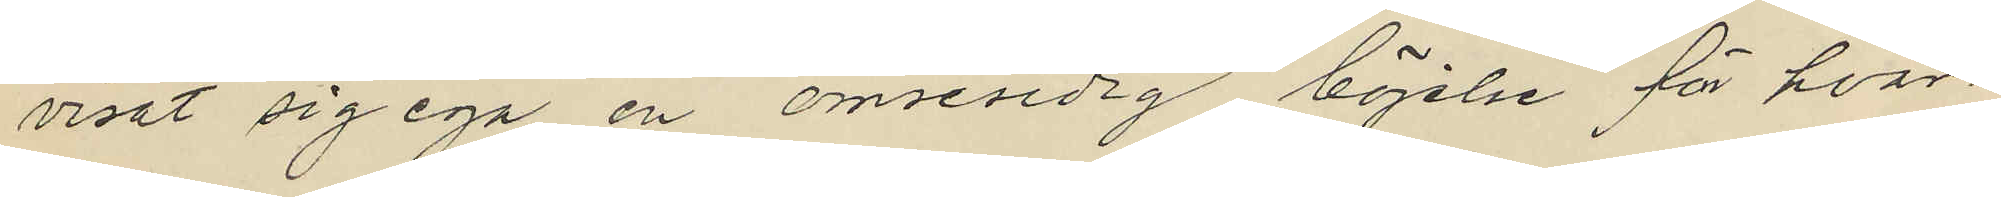visat sig ega en ömsesidig böjelse för hvar¬
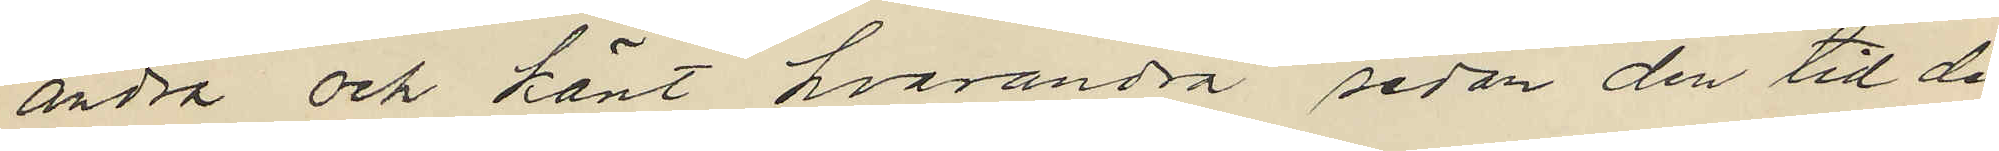andra och känt hvarandra sedan den tid de
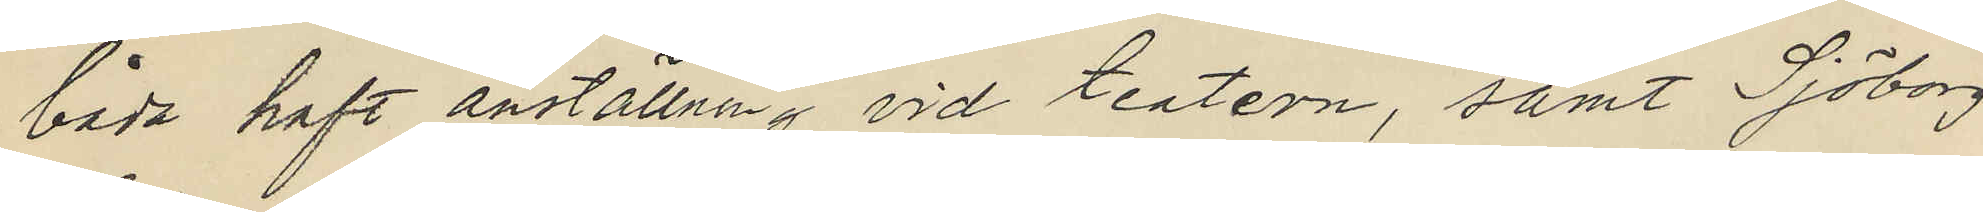båda haft anställning vid teatern, samt Sjöborg
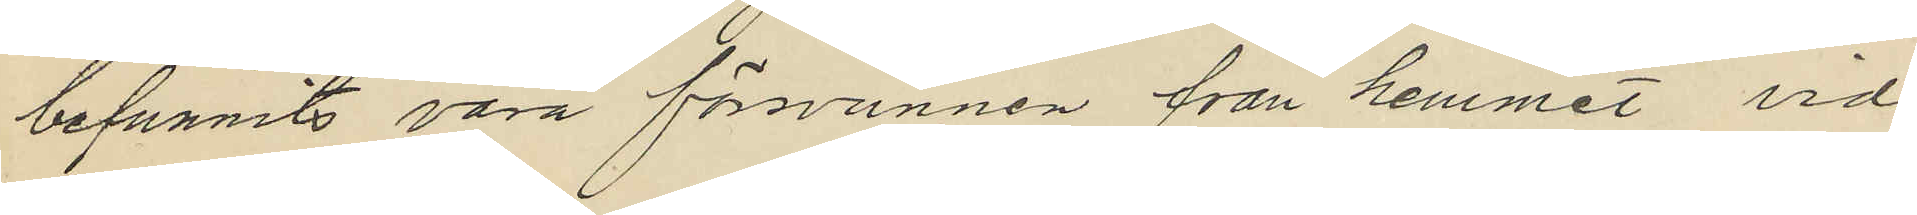befunnits vara försvunnen från hemmet vid
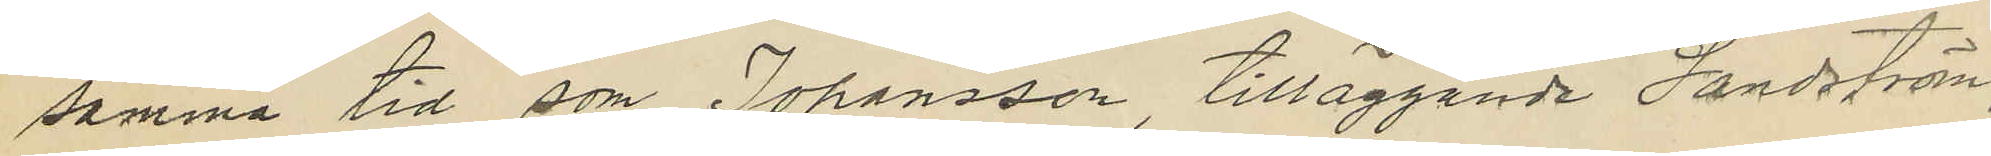samma tid som Johansson, tilläggande Sandström,
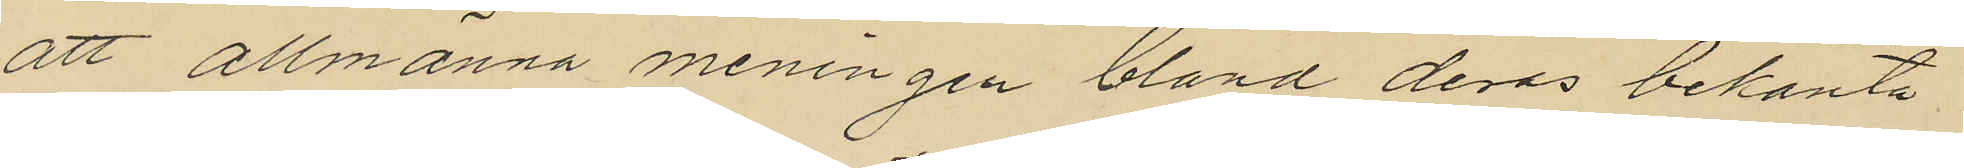att allmänna meningen bland deras bekanta
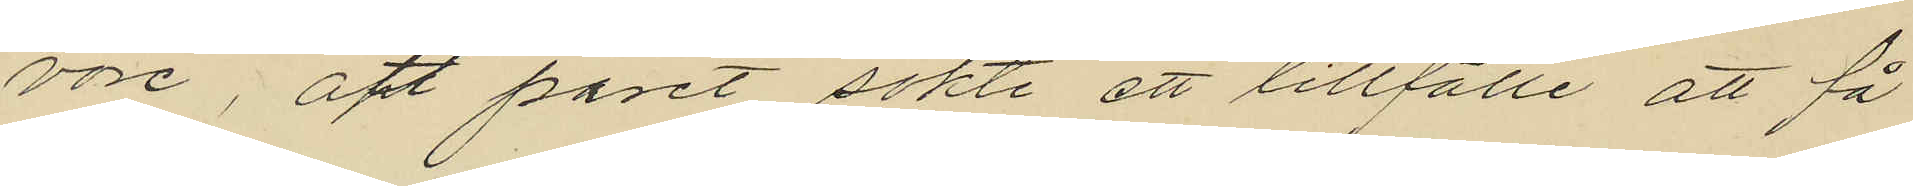vore, att paret sökte ett tillfälle att få
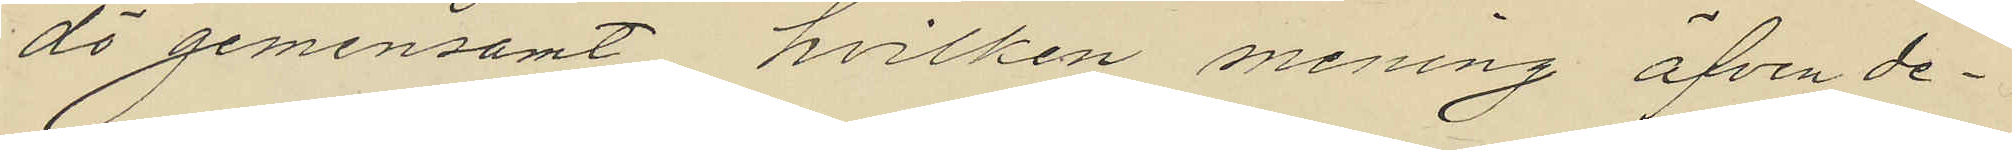dö gemensamt hvilken mening äfven de¬
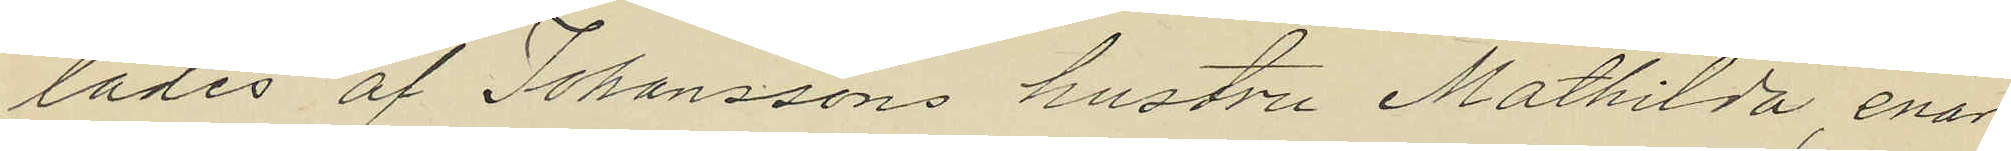lades af Johanssons hustru Mathilda, enär
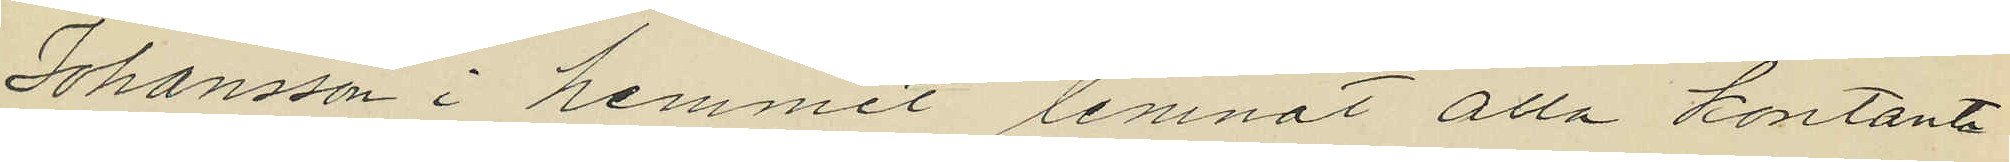Johansson i hemmet lemnat alla kontanta
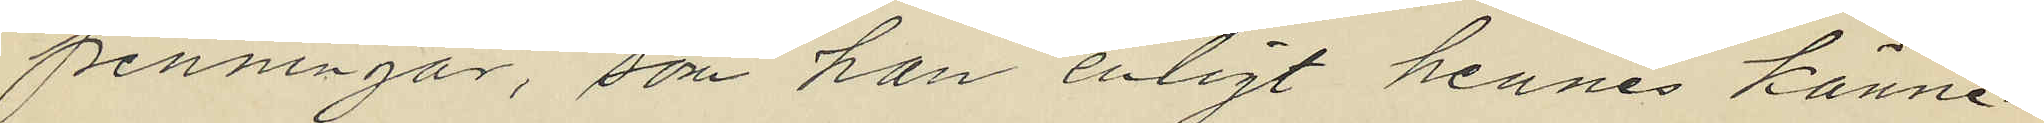penningar, som han enligt hennes känne¬
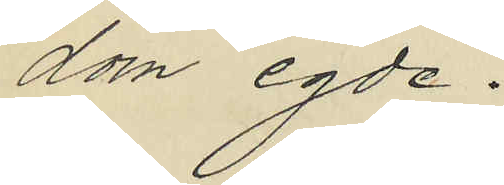dom egde.
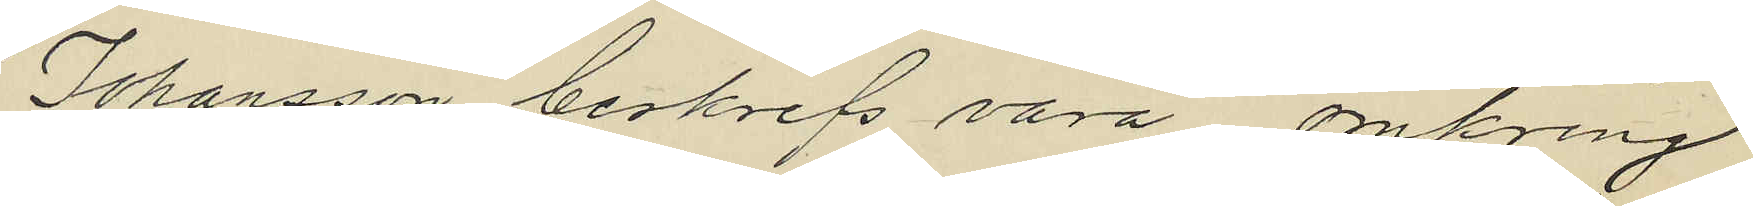Johansson beskrifs vara omkring
